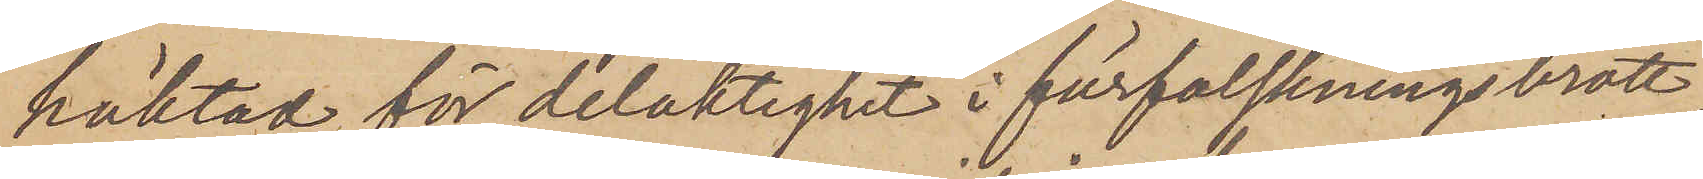häktad för delaktighet i förfalskningsbrott,
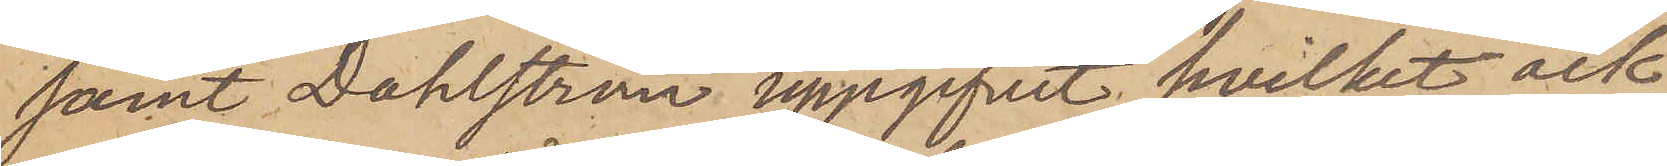samt Dahlström uppgifvit, hvilket ock
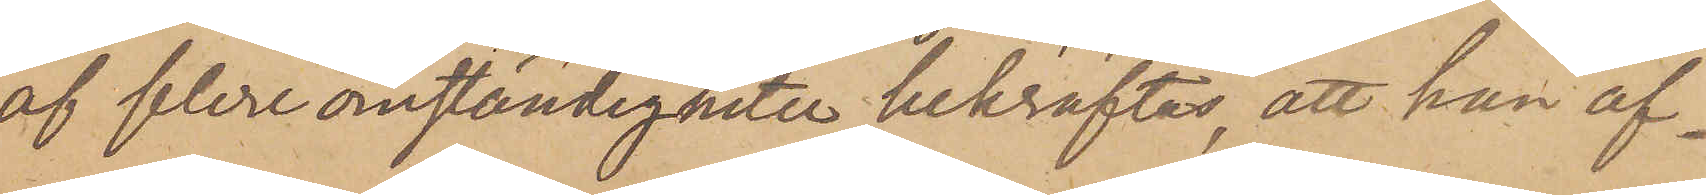af flere omständigheter bekräftas, att han af¬
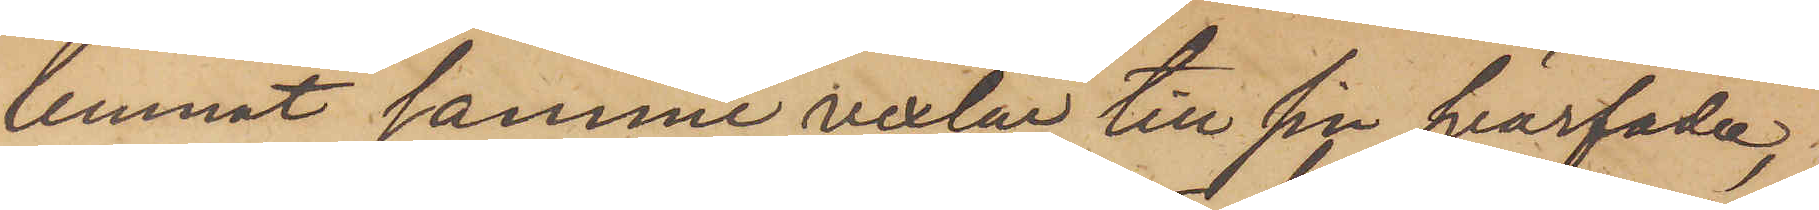lemnat samme vexlar till sin svärfader,
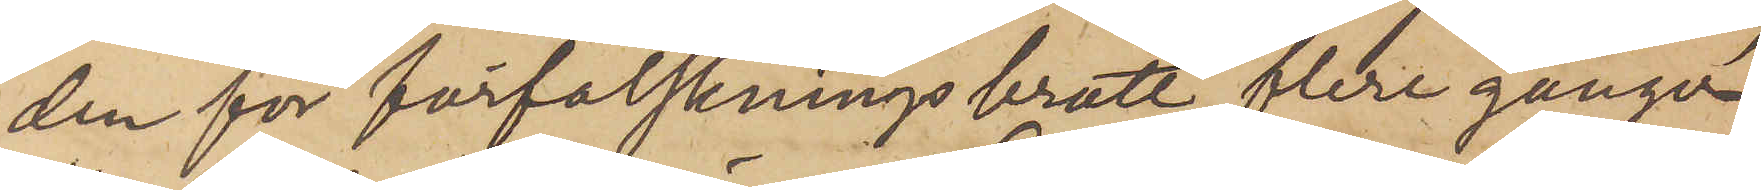den för förfalskningsbrott flera gånger
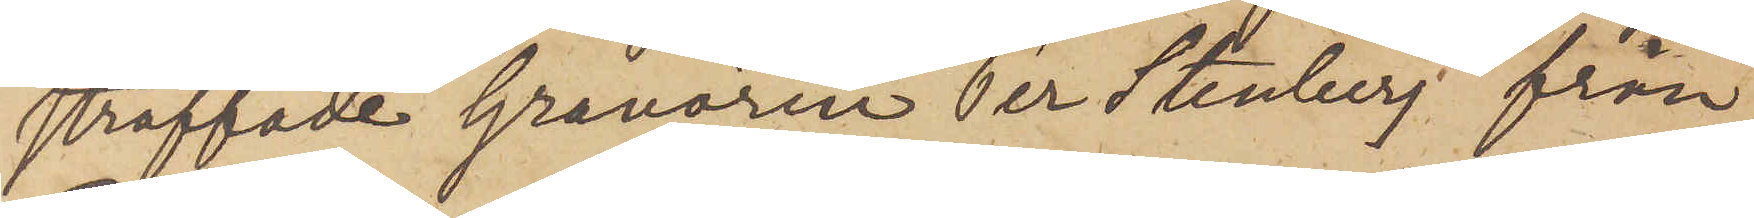straffade Gravören Per Stenberg från
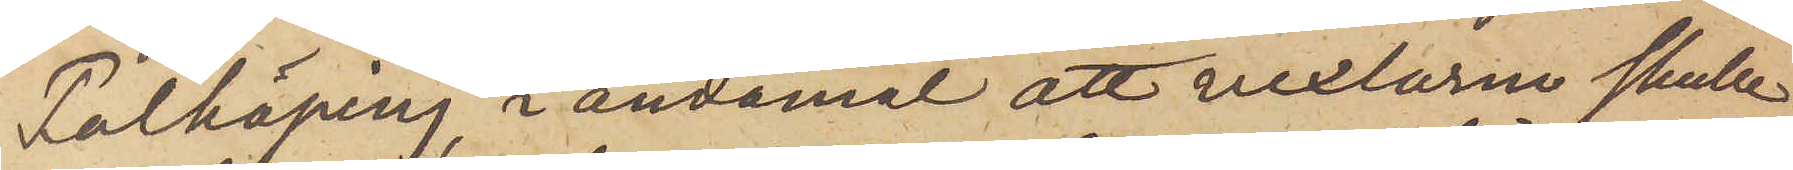Falköping, i ändamål att vexlarne skulle
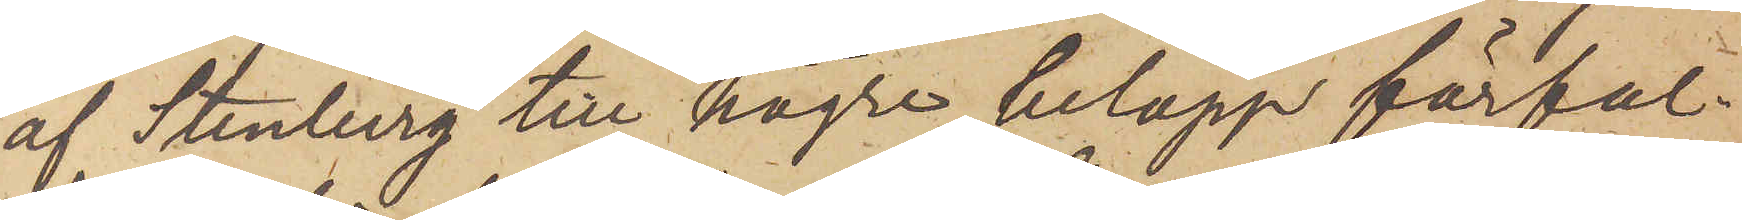af Stenberg till högre belopp förfal¬
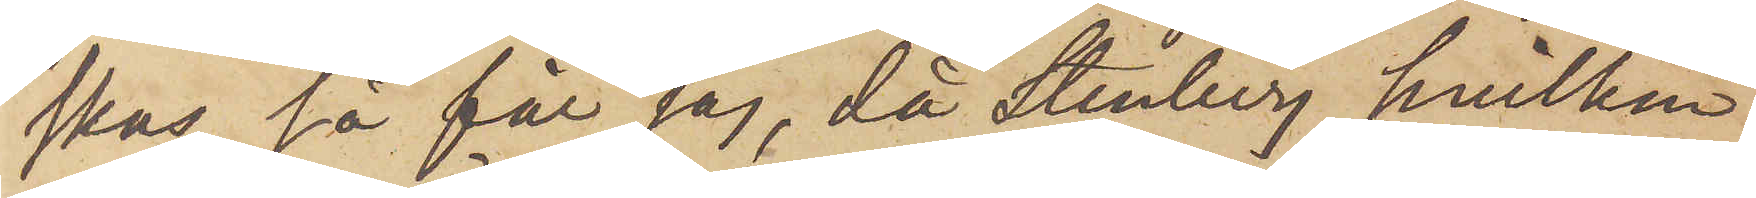skas, så får jag, då Stenberg, hvilken
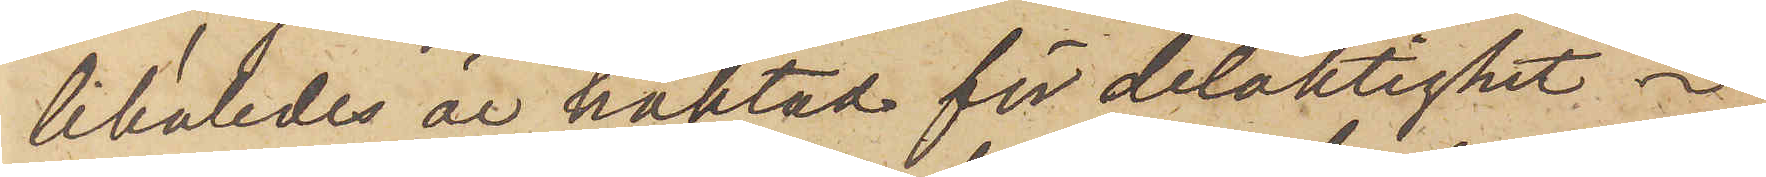likaledes är häktad för delaktighet
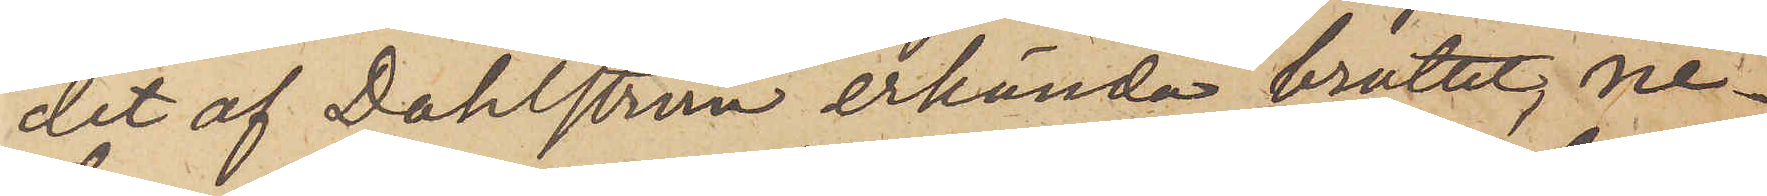det af Dahlström erkända brottet, ne¬
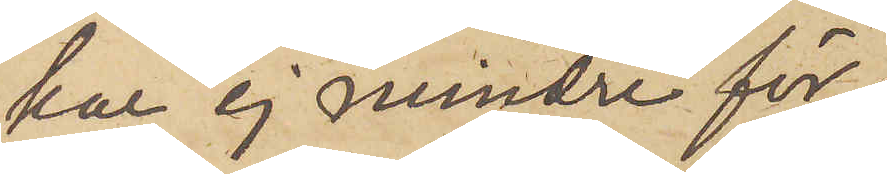kar ej mindre för
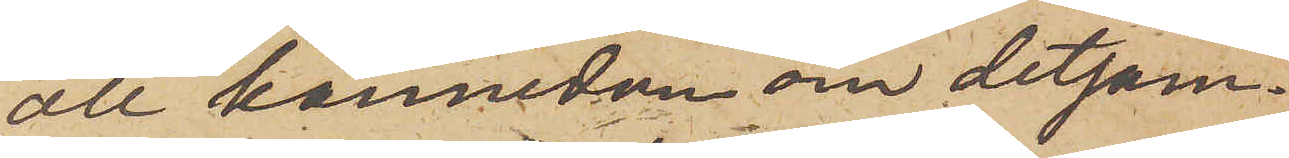all kännedom om detsam¬
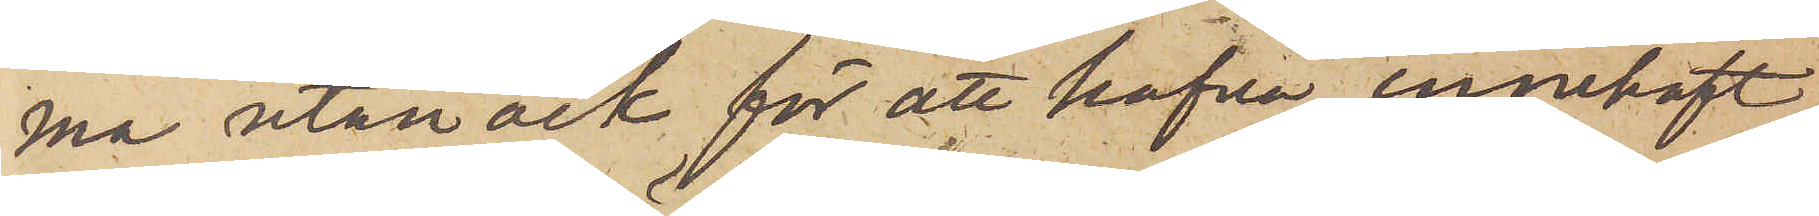ma utan ock för att hafva innehaft
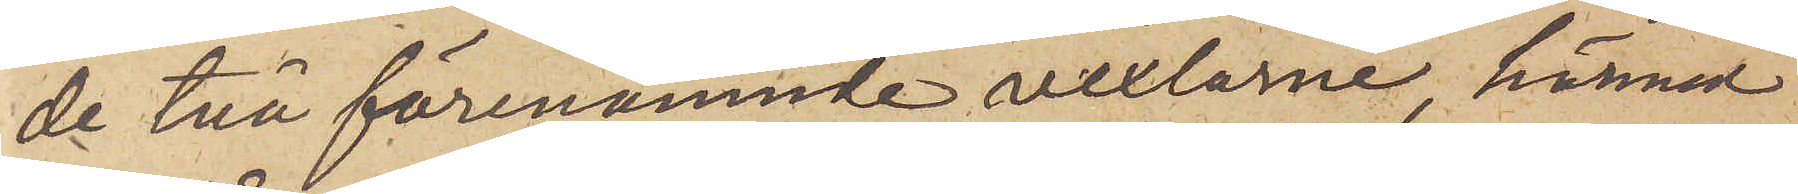de två förenämnde vexlarne, härmed
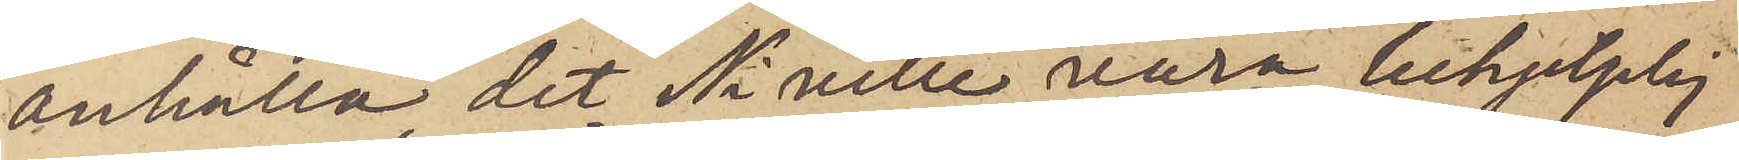anhålla, det Ni ville vara behjelplig
